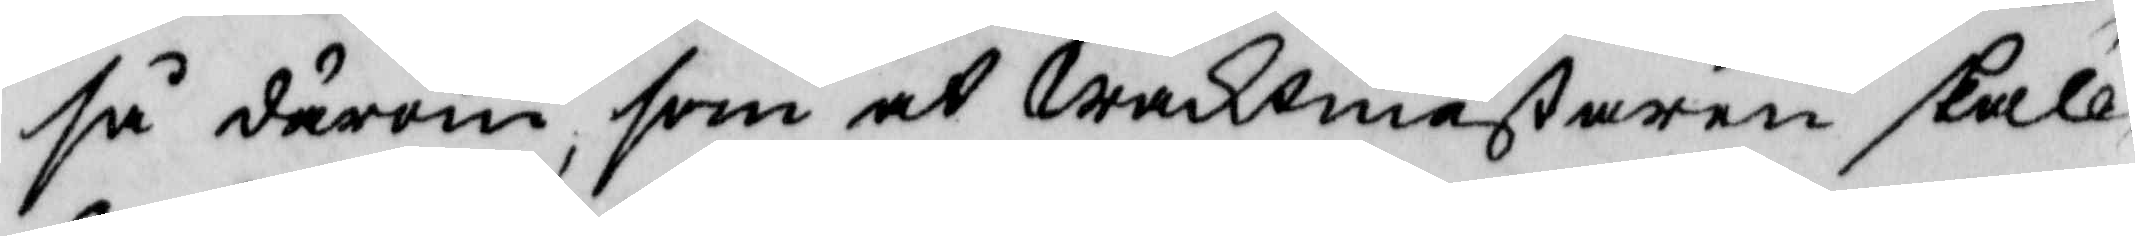så därom, som at waktmästaren skall
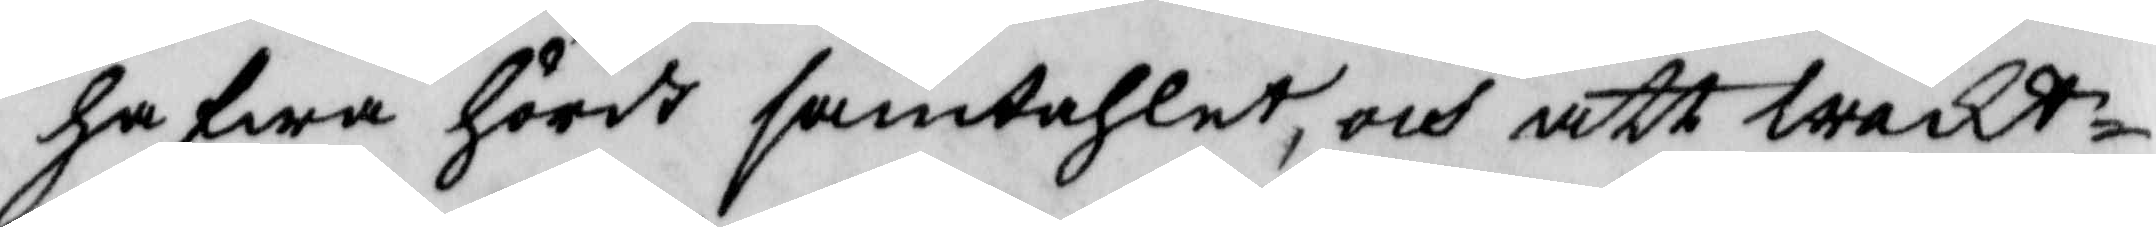hafwa hördt samtahlet, och att wakt¬
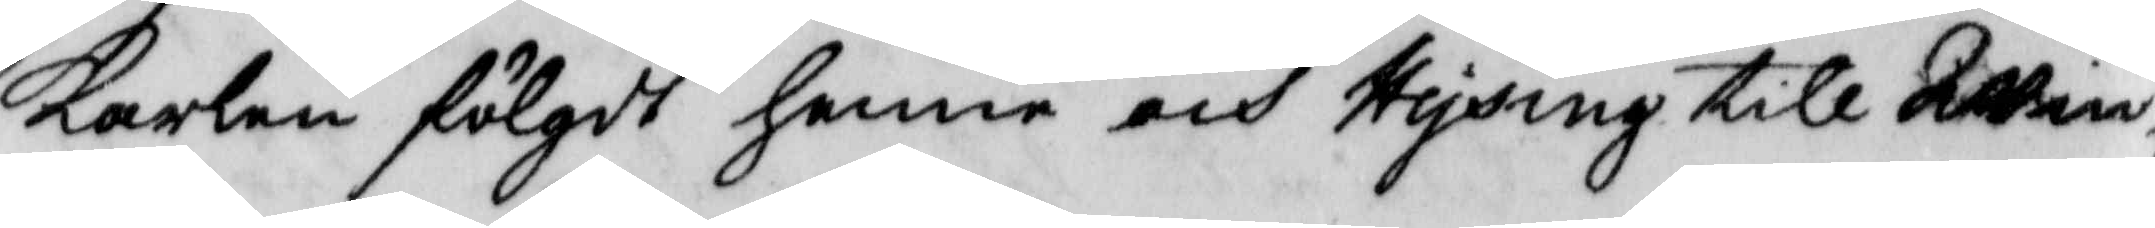Karlen fölgd henne och Hysing till wind¬
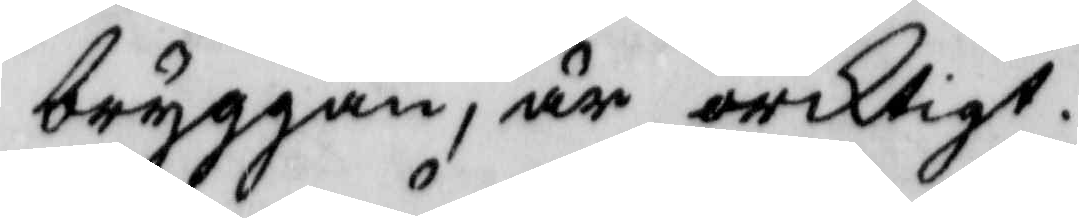bryggan, är oriktigt.
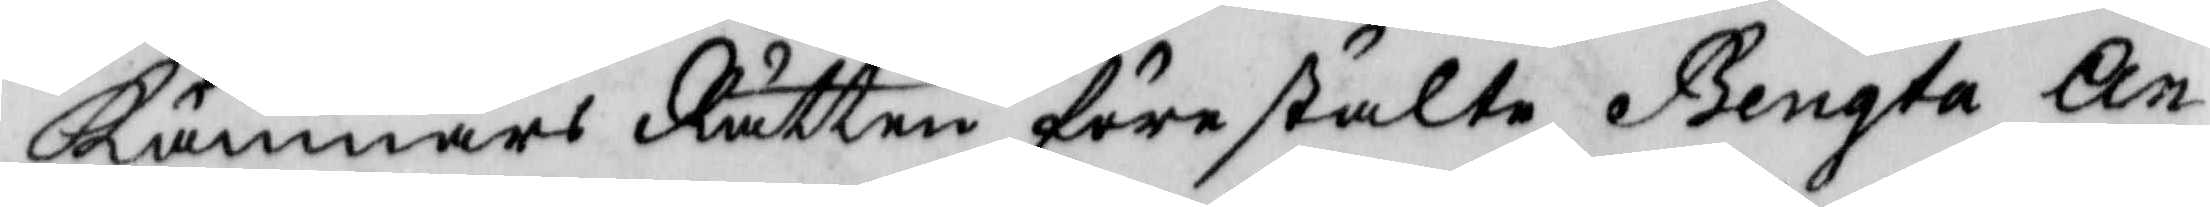Kämnärs Rätten förestälte Bengta An¬
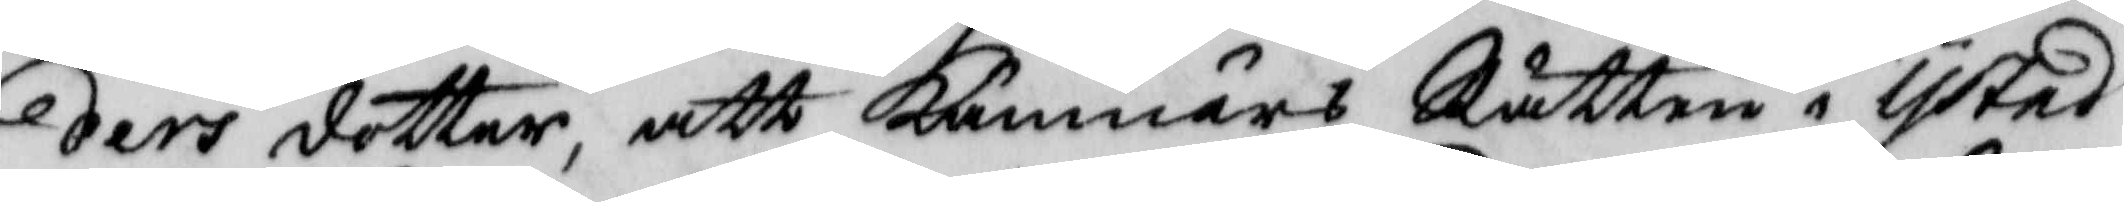ders dotter, att Kämnärs Rätten i Ystad
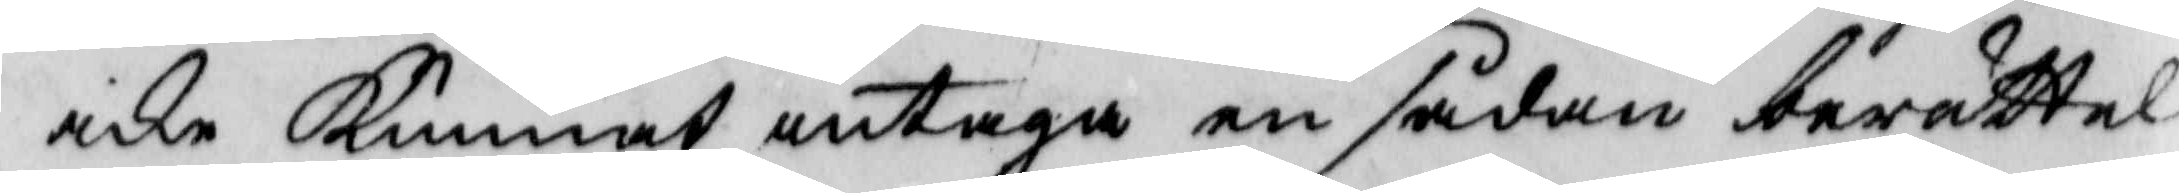icke Kunnat intaga en sådan berättel¬
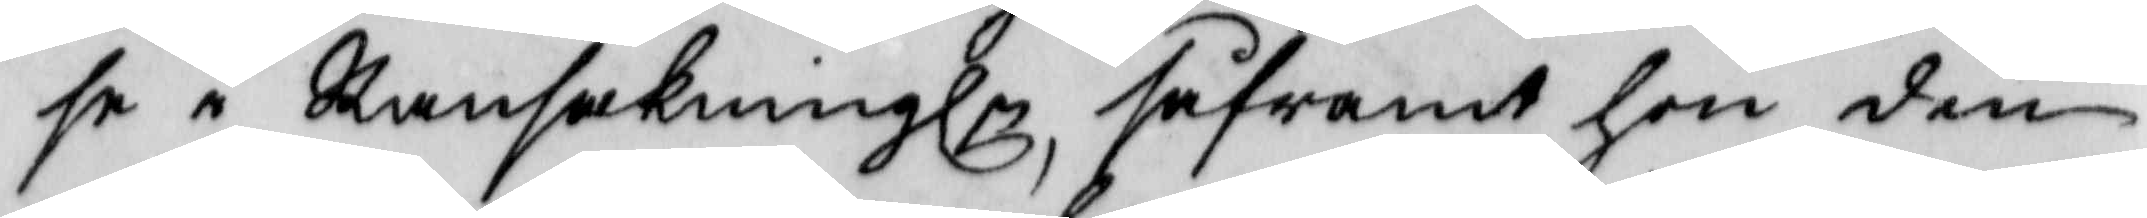se i Ransakningln, såframt hon den
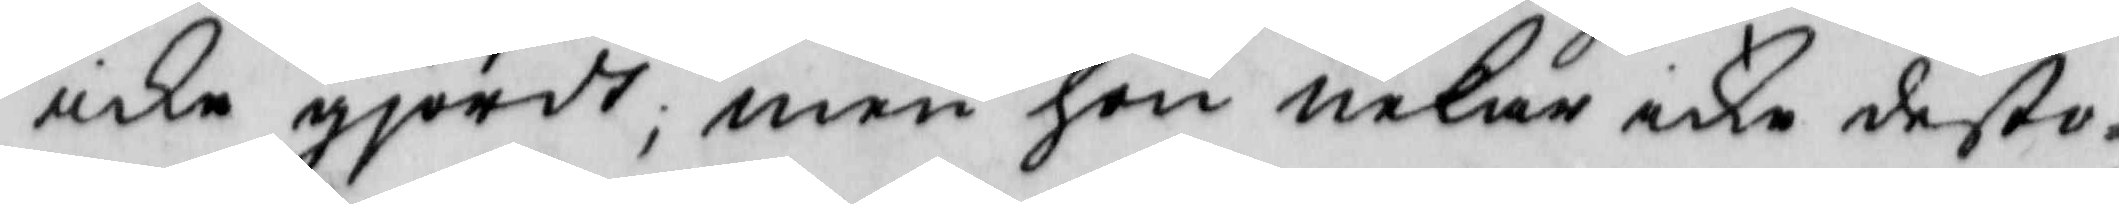icke gjordt; men hon nekar icke desto¬
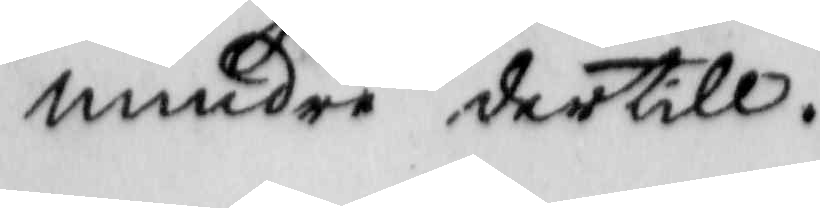mindre dertill.
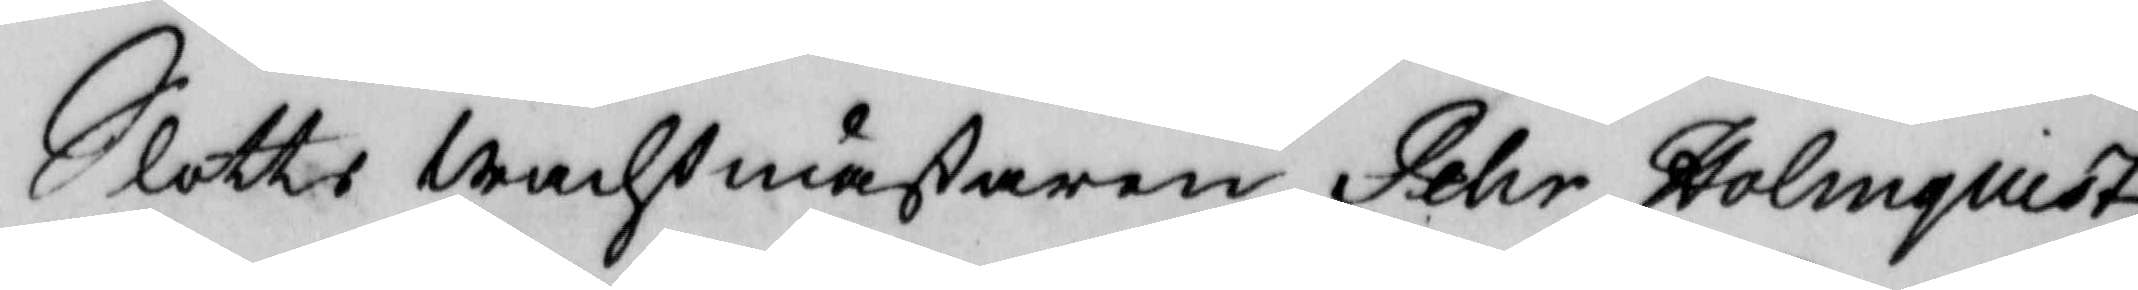Slotts wachtmästaren Pehr Holmquist
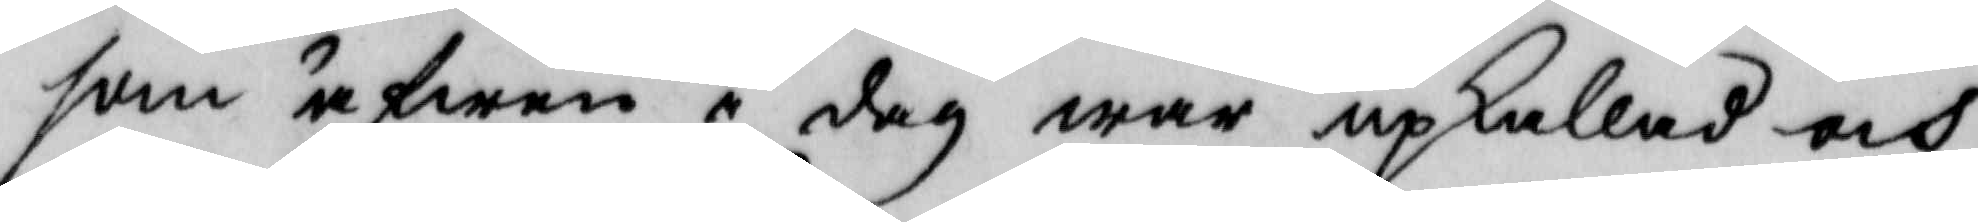som äfwen i dag war upkallad och
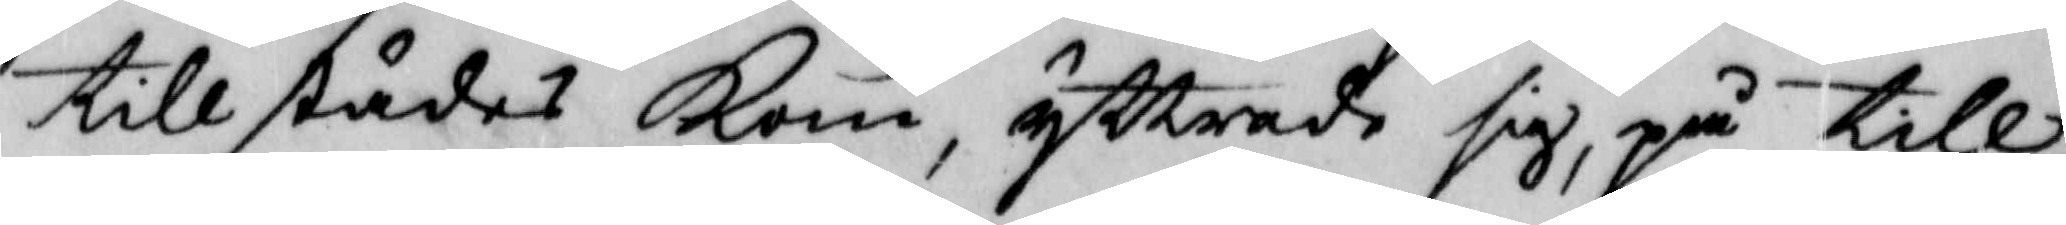tillstädes Kom, yttrade sig, på till¬
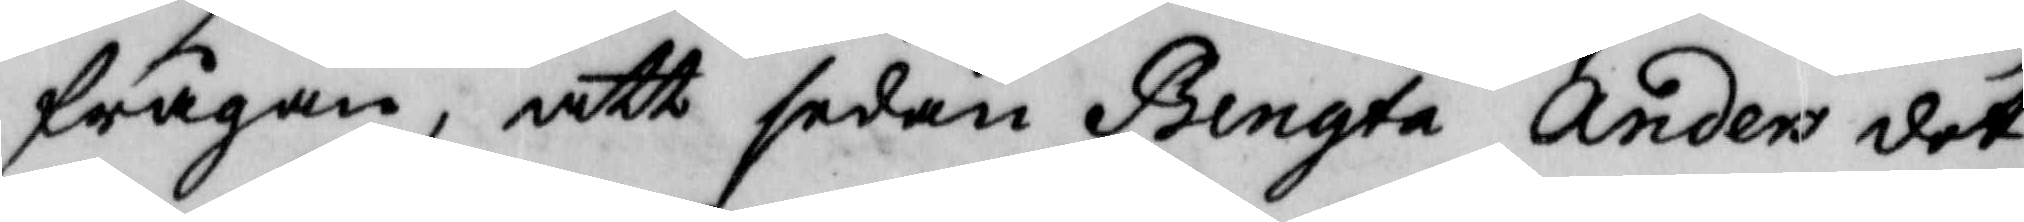frågan, att sedan Bengta Anders dot¬
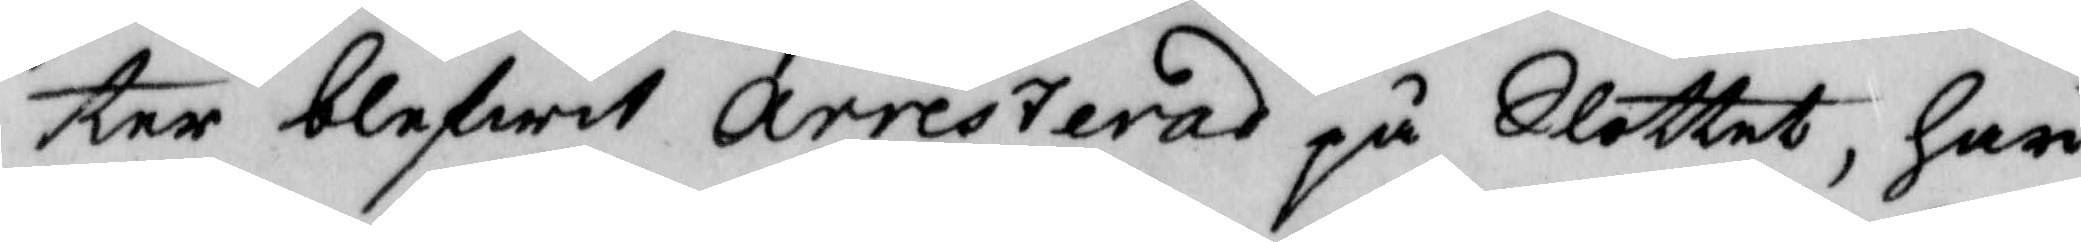ter blifwit arresterad på Slottet, har
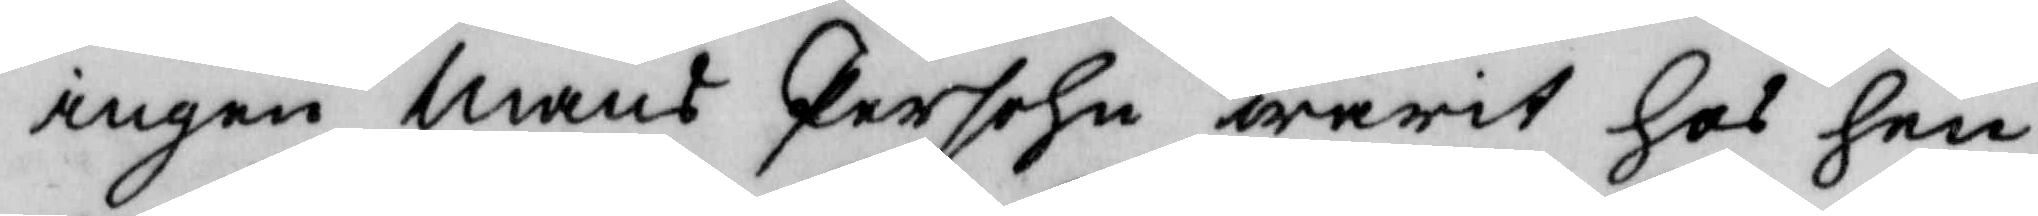ingen mans Persohn warit hos hen¬
